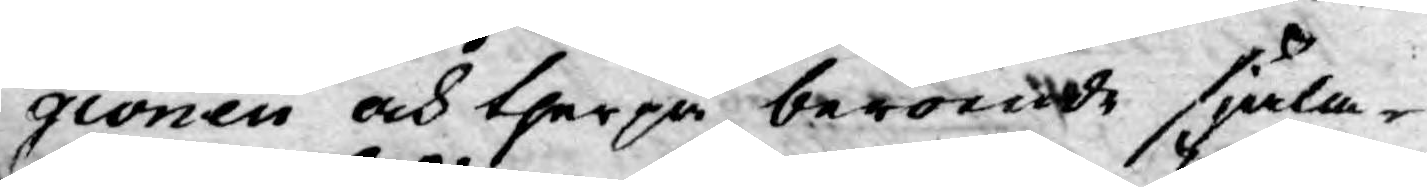gionen och therpå beroende själa¬
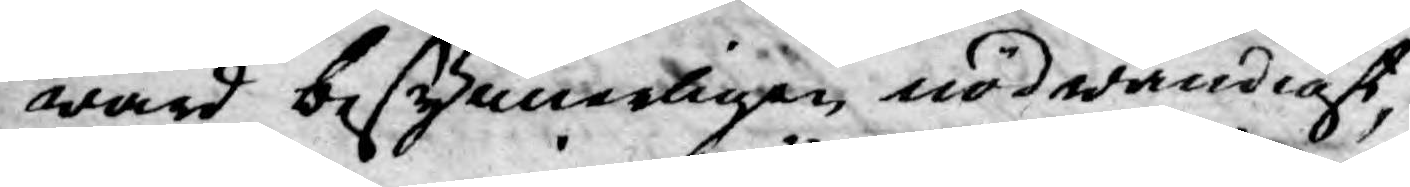wård besynnerligen nödwändigt,
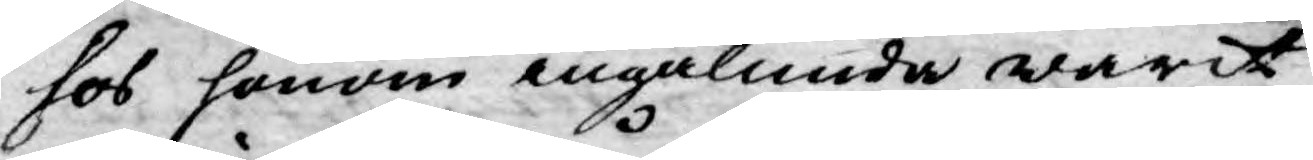hos honom ingalunda warit
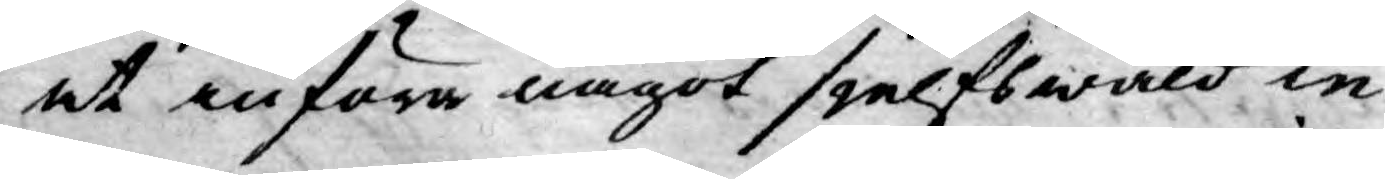at införa något sjelfswåld in
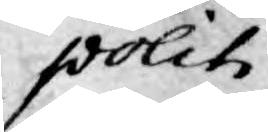politi¬
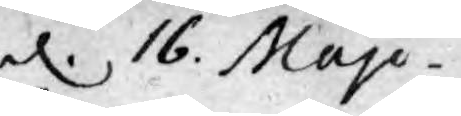d. 16. Maji.
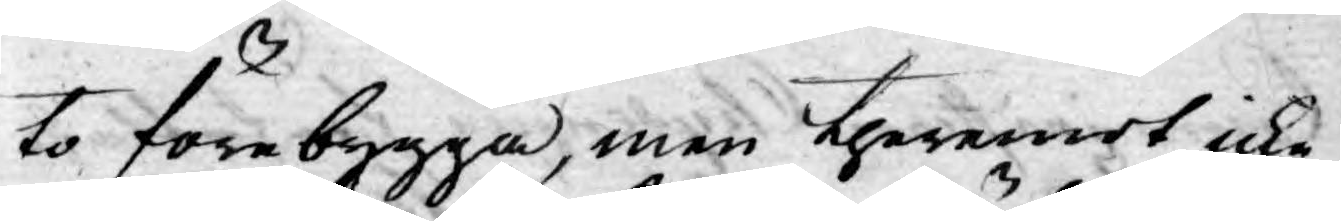to förebygga, men theremot icke
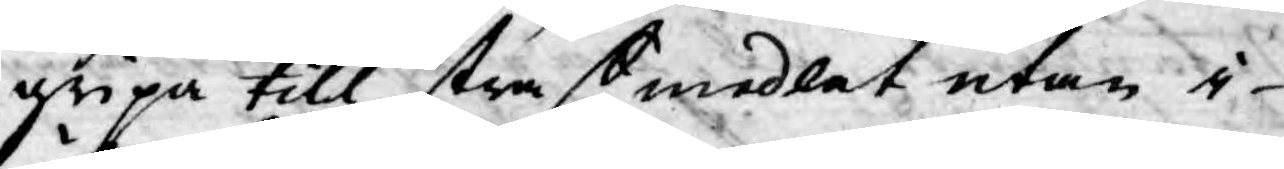gripa till straffmedlet utan i
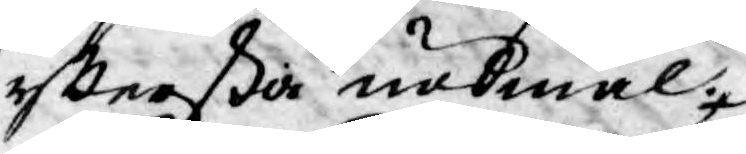yfttersta nödmål.
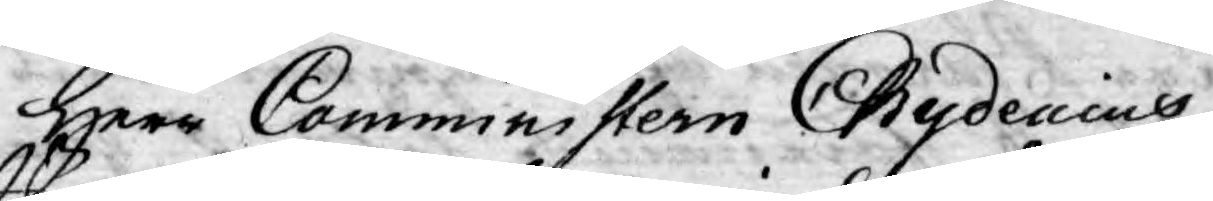Herr Comministern Chydenius
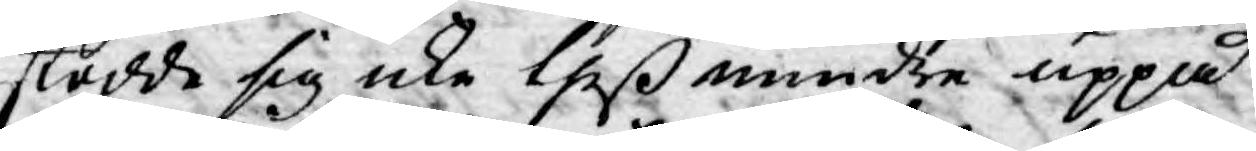stödde sig icke theß mindre uppå
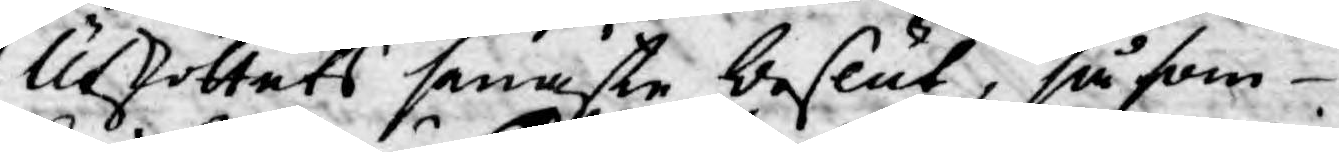Utskottets senaste beslut, så som
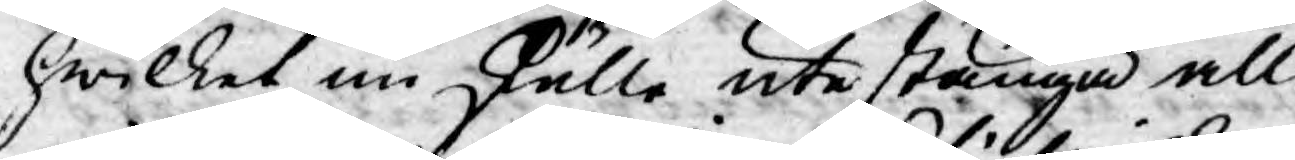hwilket nu skulle utestänga all
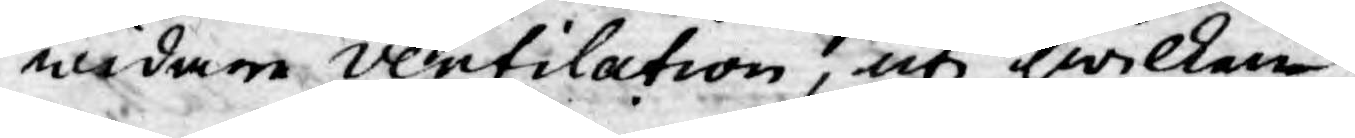widare ventilation, uti hwilken
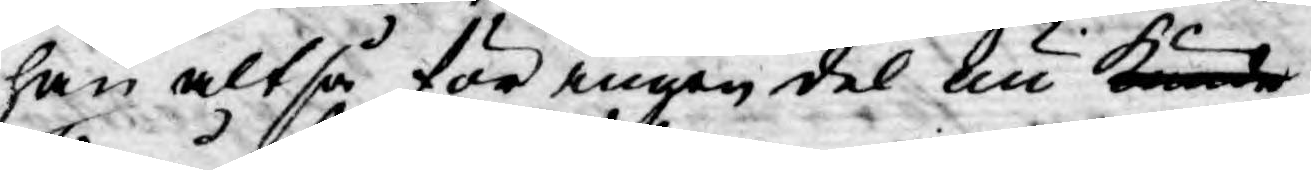han altså för ingen del nu kunde
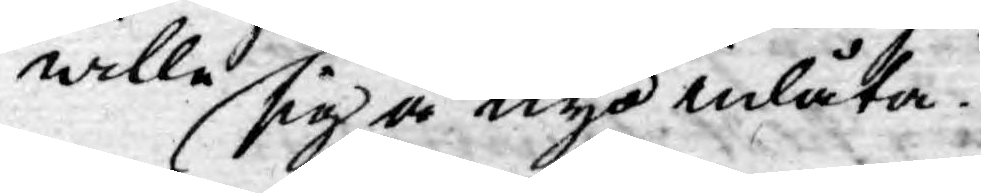wille sig å nyo inlåta.
